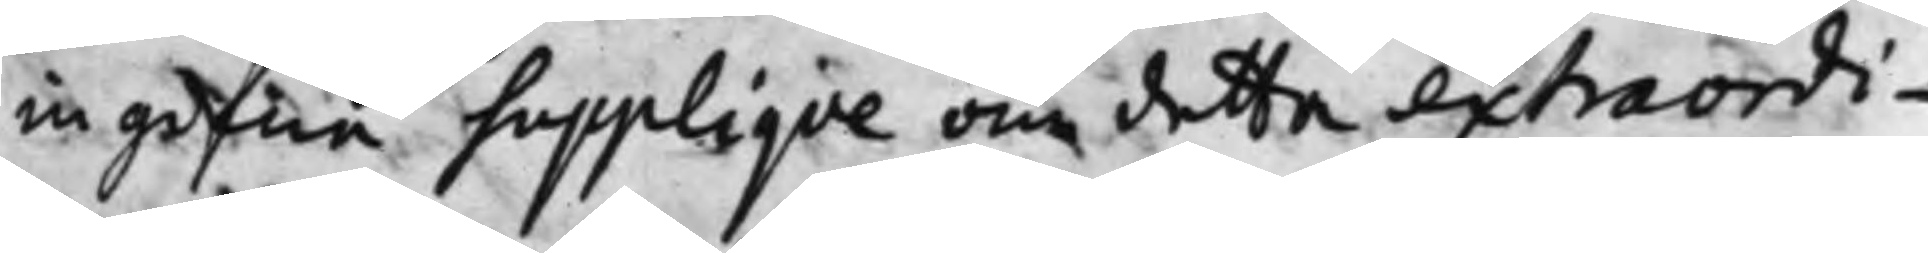ingifna Suppliqve om detta extraordi¬
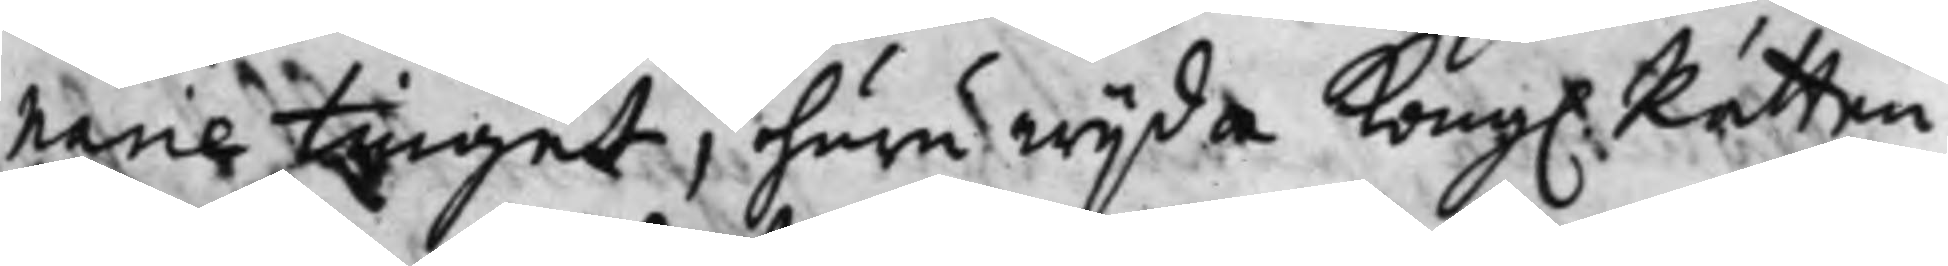narie tinget, huru wijda Kong. Rätten
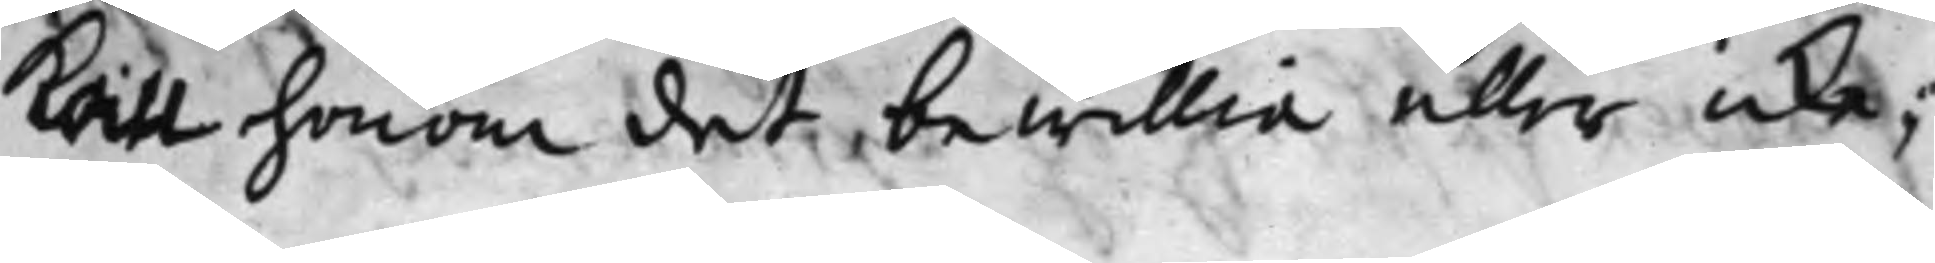Kan honom det bewillia eller icke;
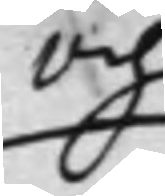Och
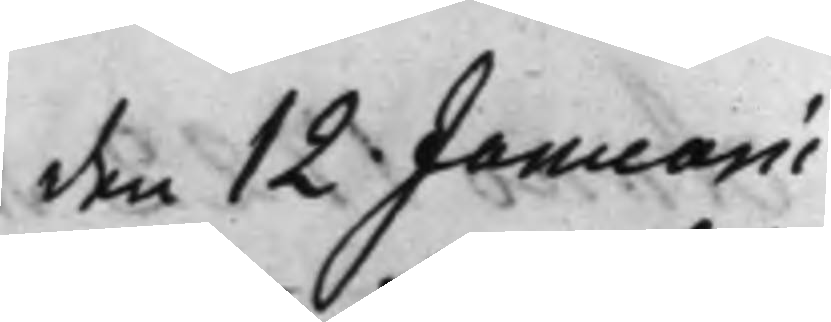den 12 Januarii
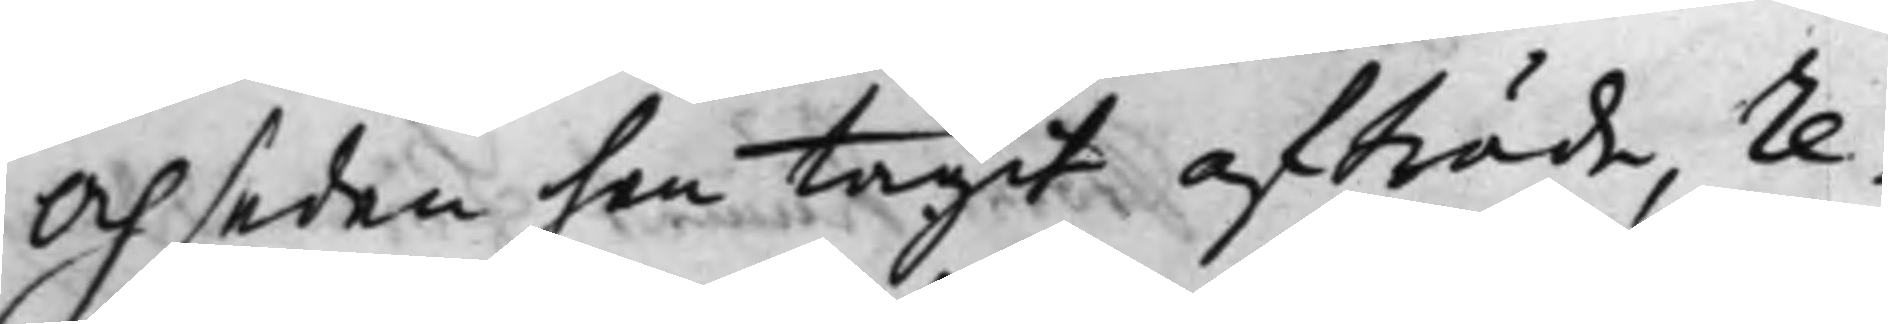och sedan han tagit afträde re¬
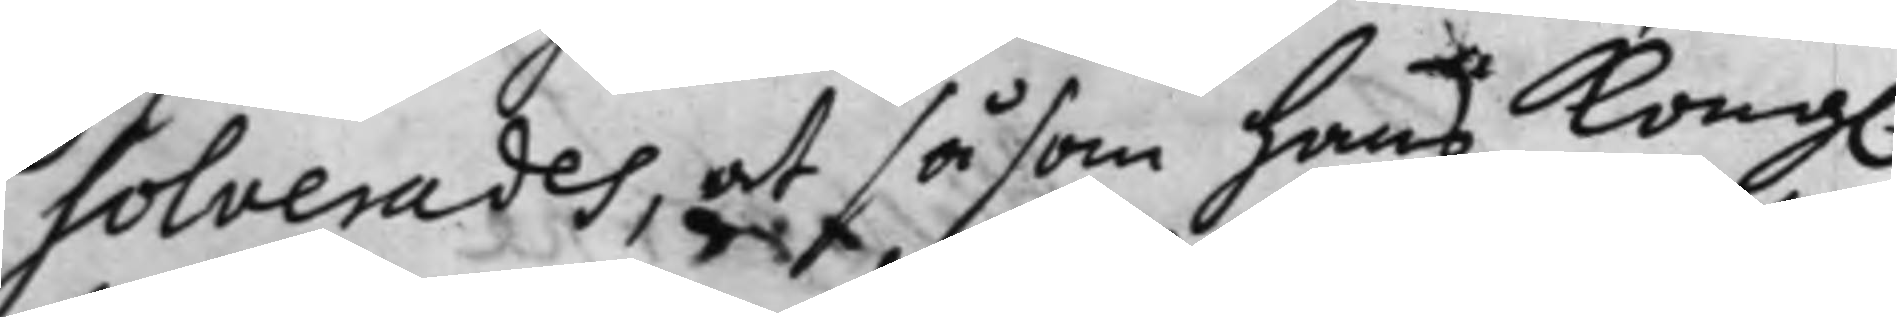solverades, at såsom hans Kong.
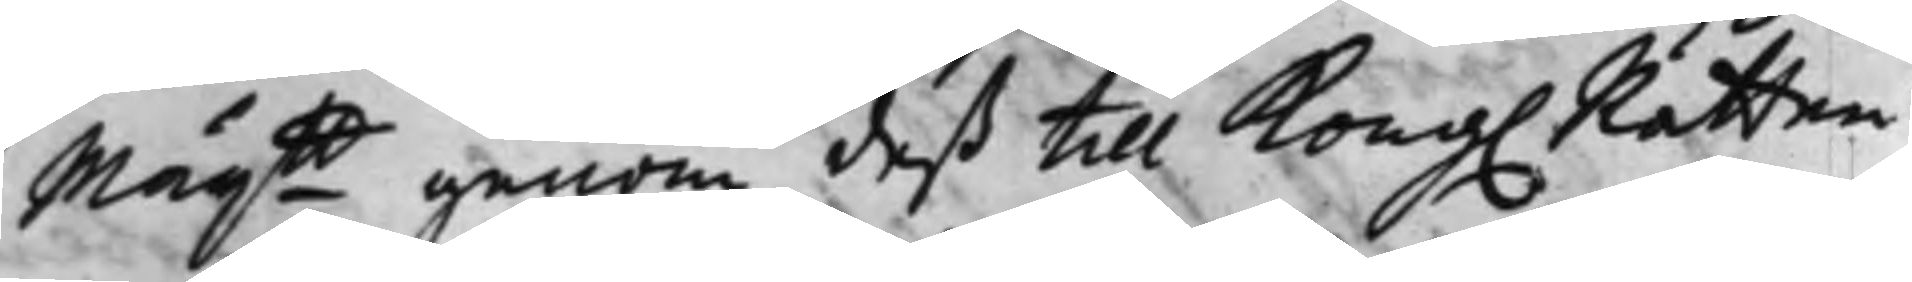Maij:tt genom deß till Kong. Rätten
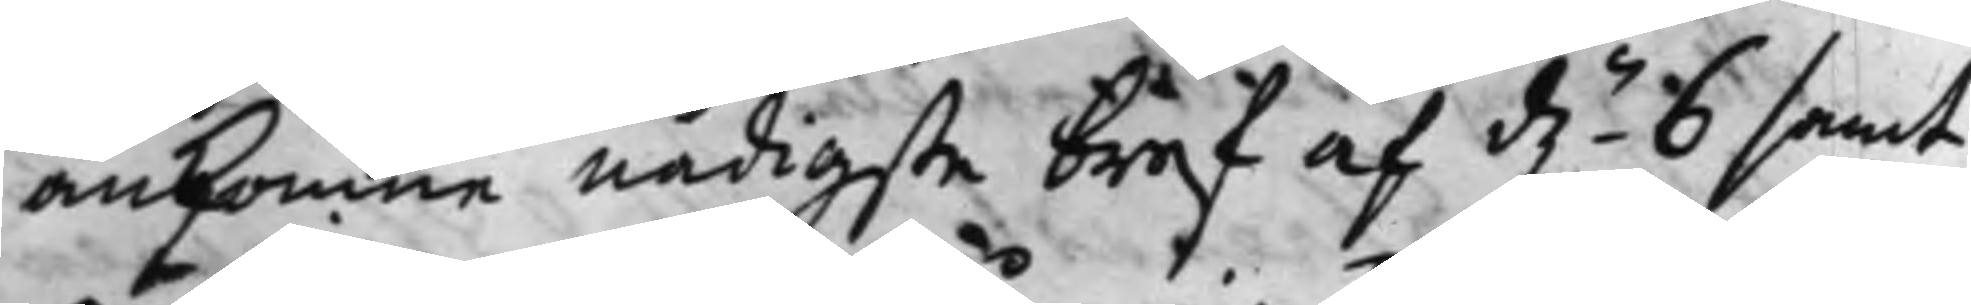ankomne nådigste bref af d.n 6 samt
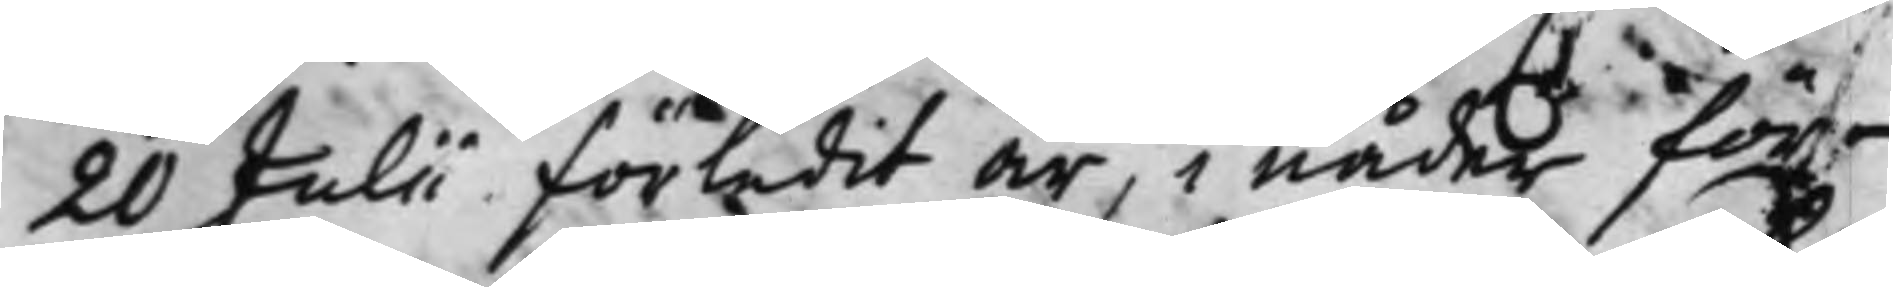20 Julii förledit år, i nåder för¬
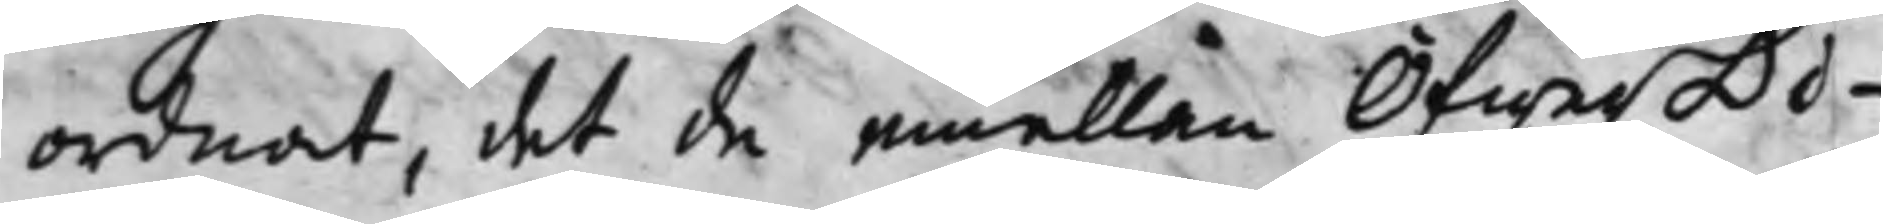ordnat, det då emellan ÖfwerDi¬
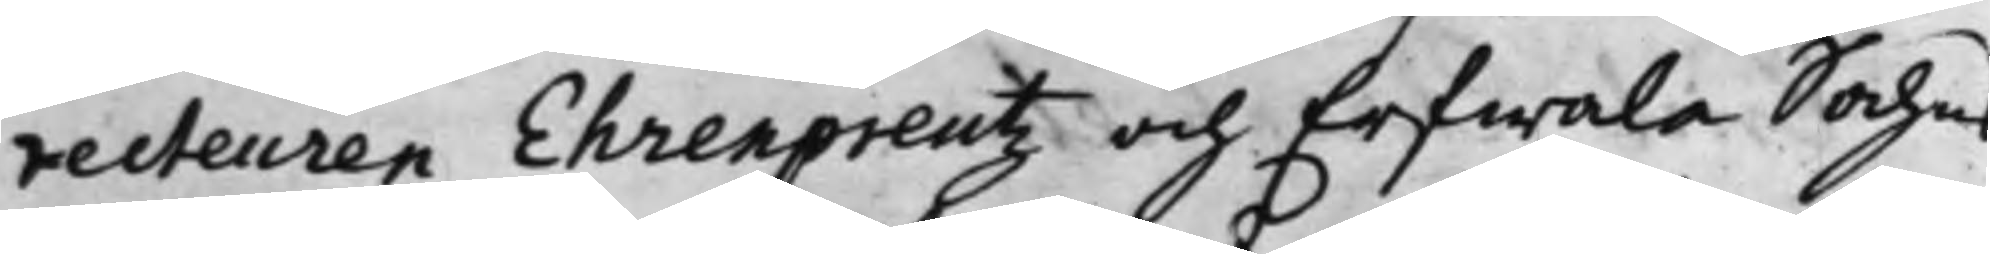recteuren Ehrenpreutz och Erfwala Sochns
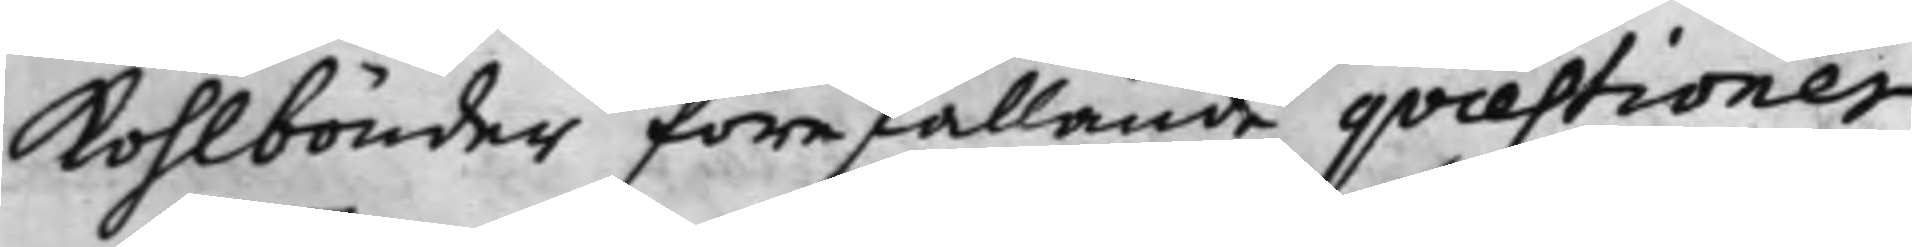Kohlbönder förefallande qvaestioner
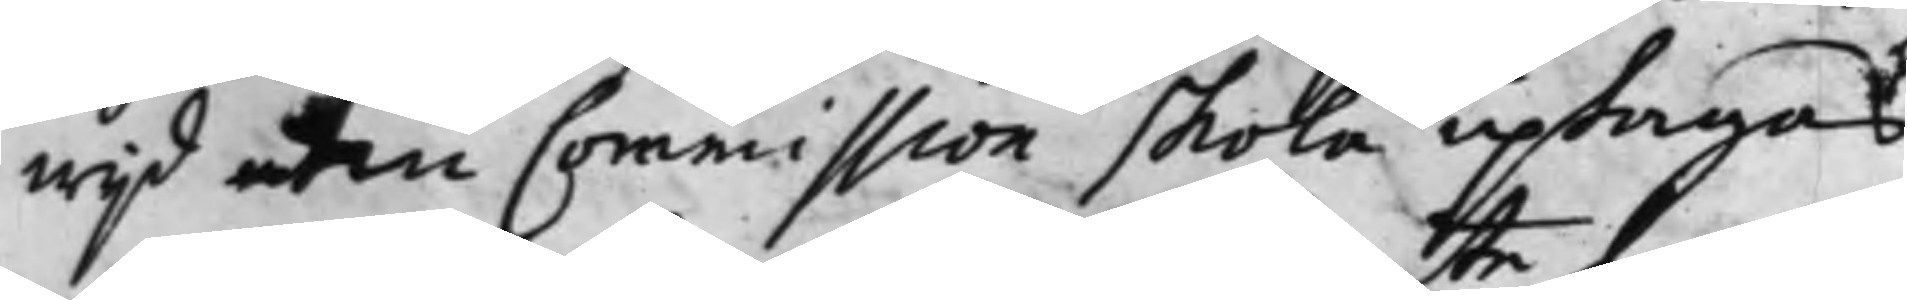wijd den Commission skola uptagas
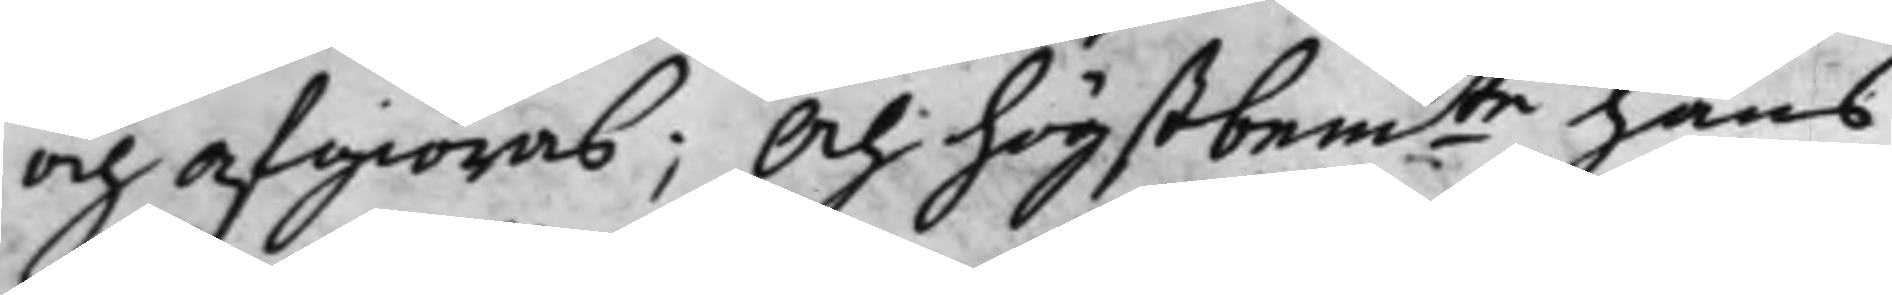och afgiöras; Och högstbem.te hans
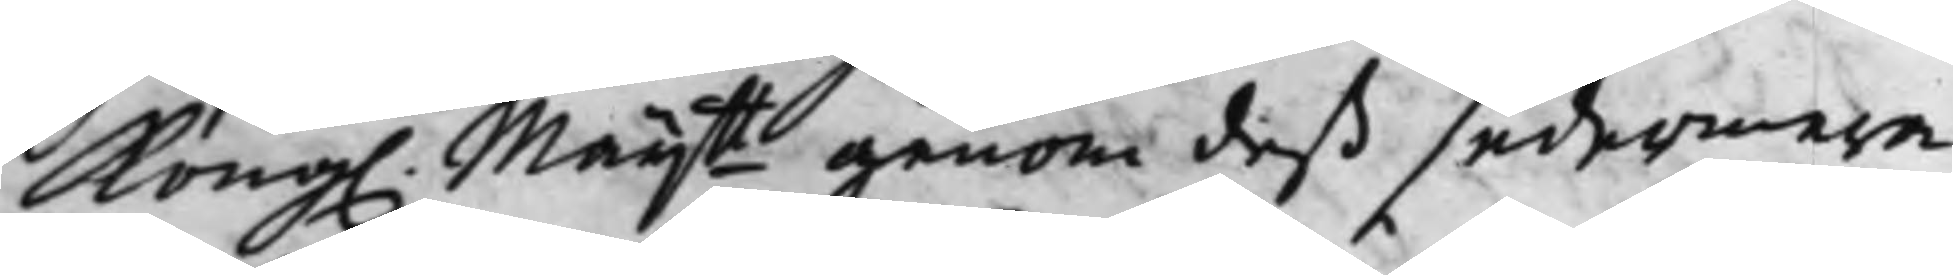Kongl Maij.tt genom deß sedermera 
